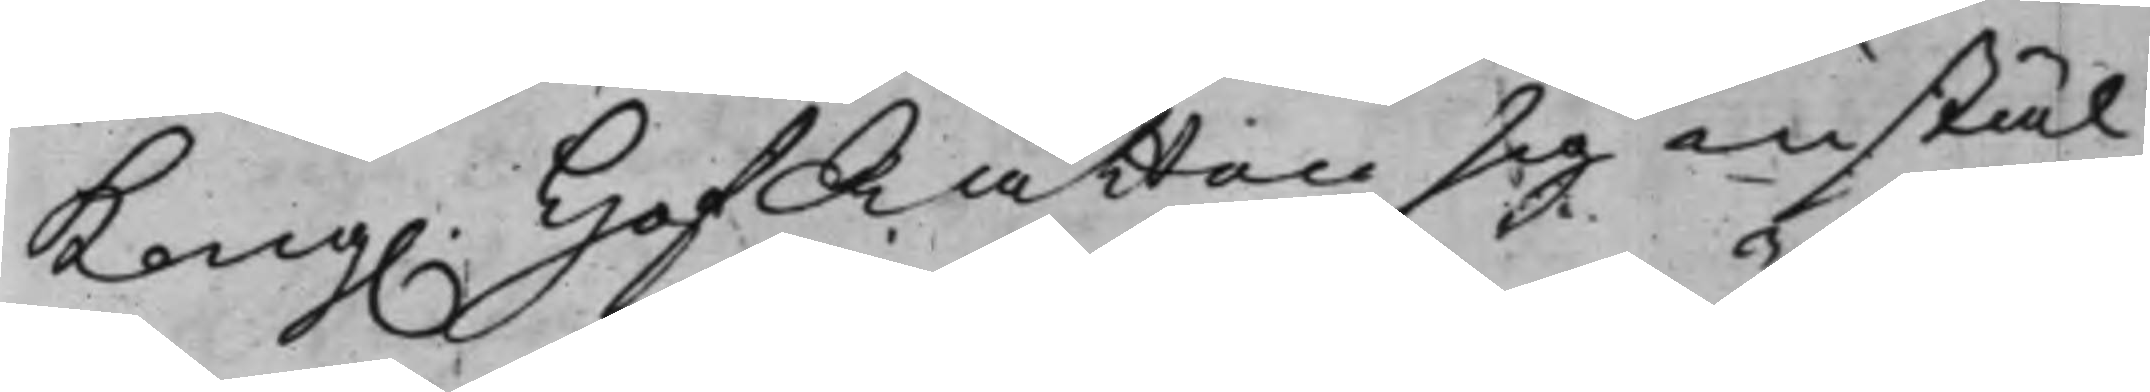Kong. HofRätten sig instäl¬
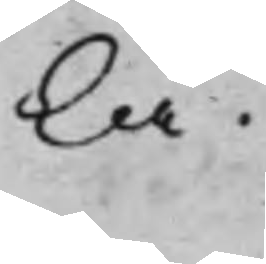la.
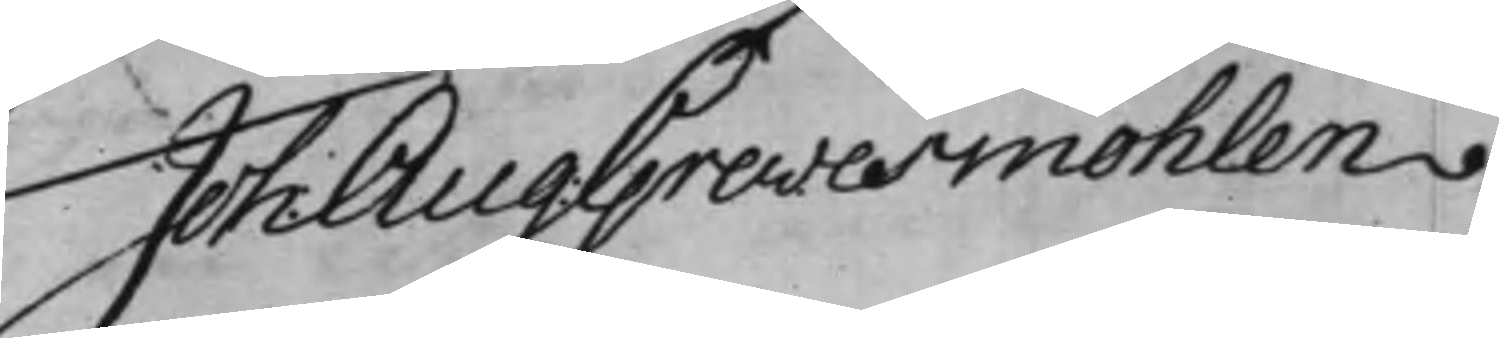Joh. Aug: Grevesmöhlen.
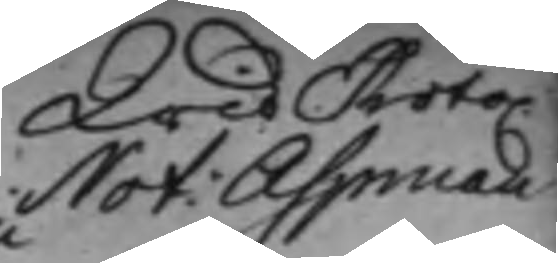Not: Aspman
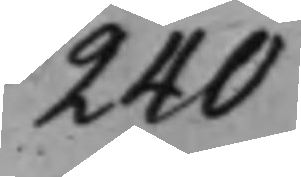240
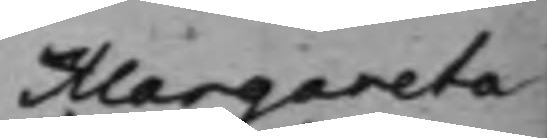Margareta
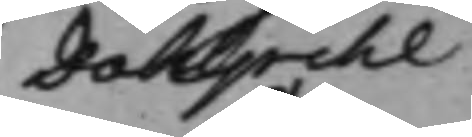Dahlpihl
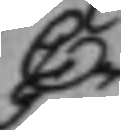C
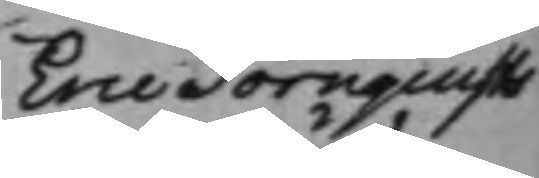Eric Törnquists
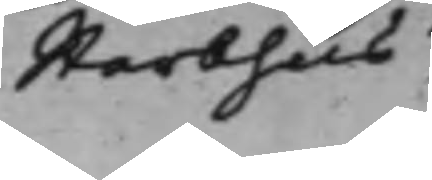Sterbhus
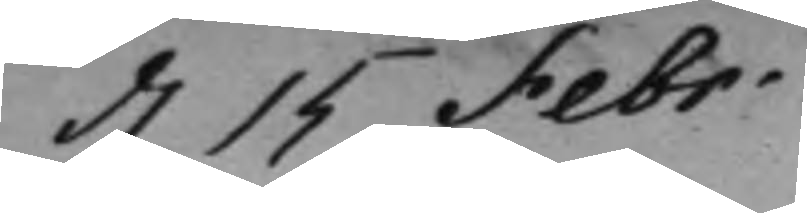d. 15 Febr.
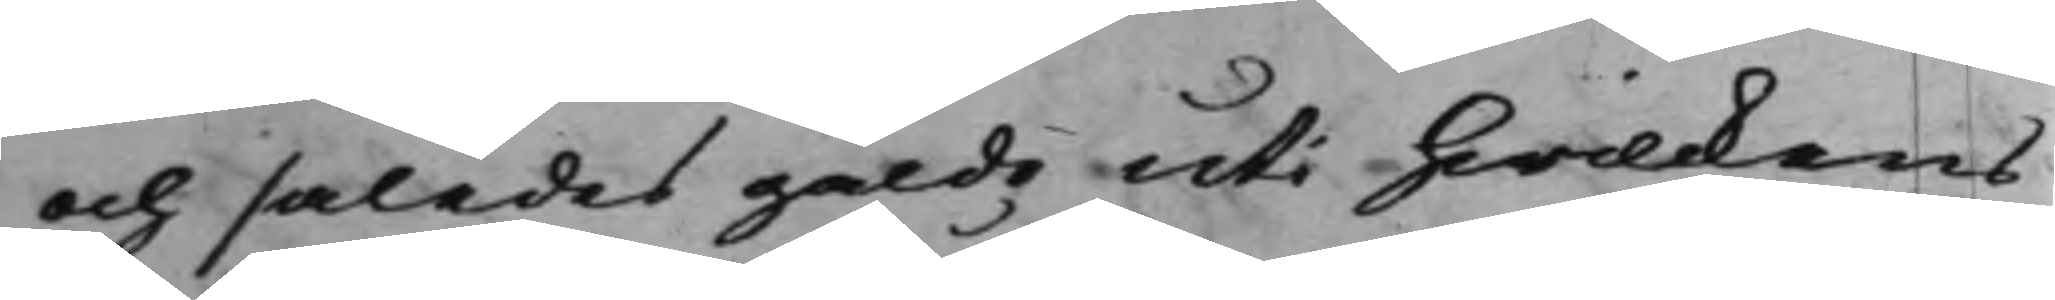och således gälda uti hwilkens
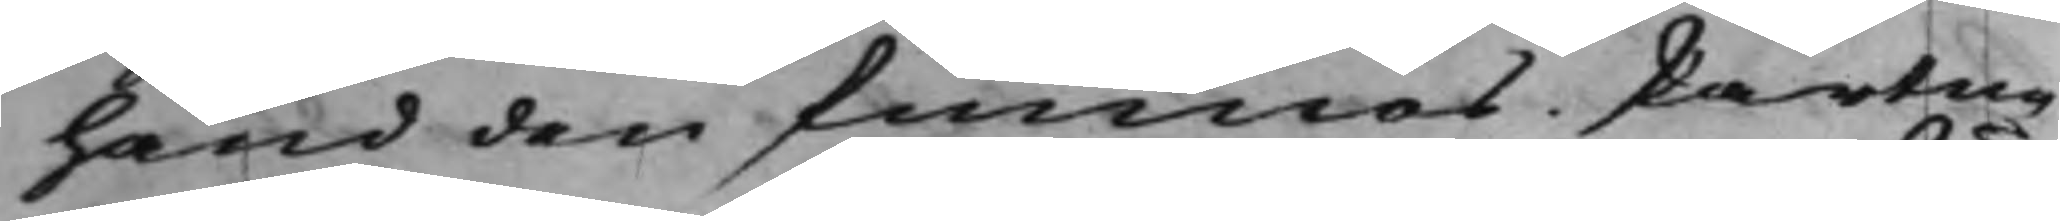hand den finnes. Parterne
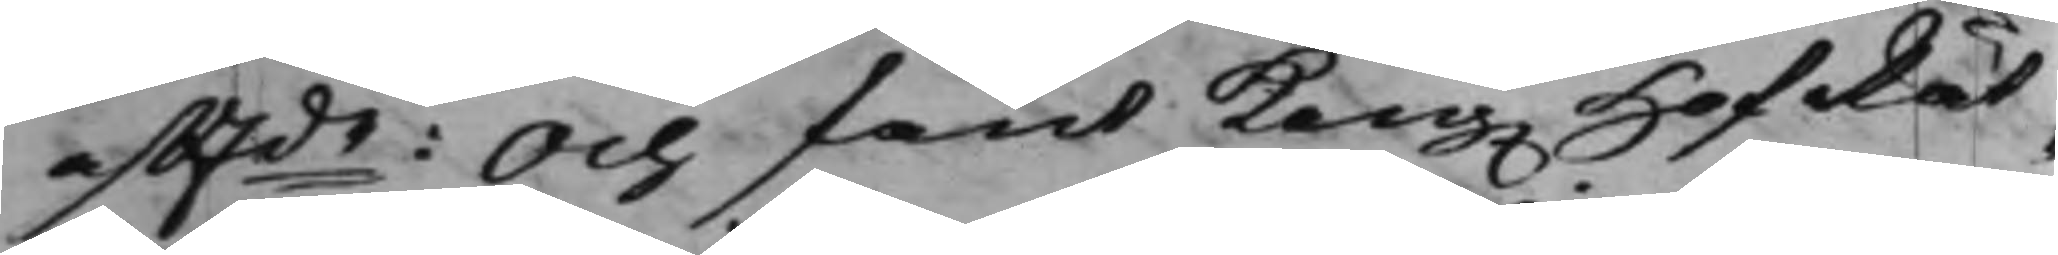afftde: Och fant Kong. HofRät¬
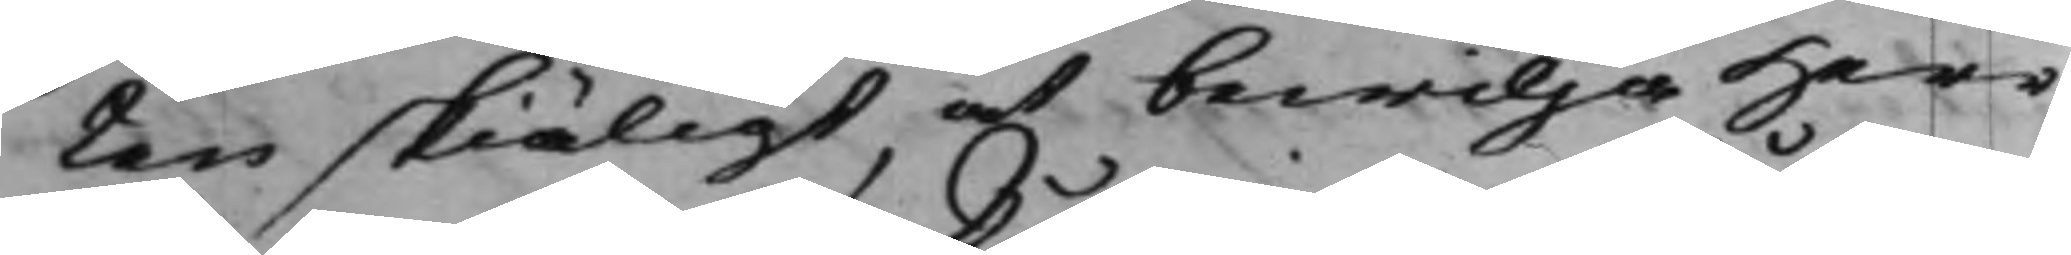ten skiäligt at bewilja Herr
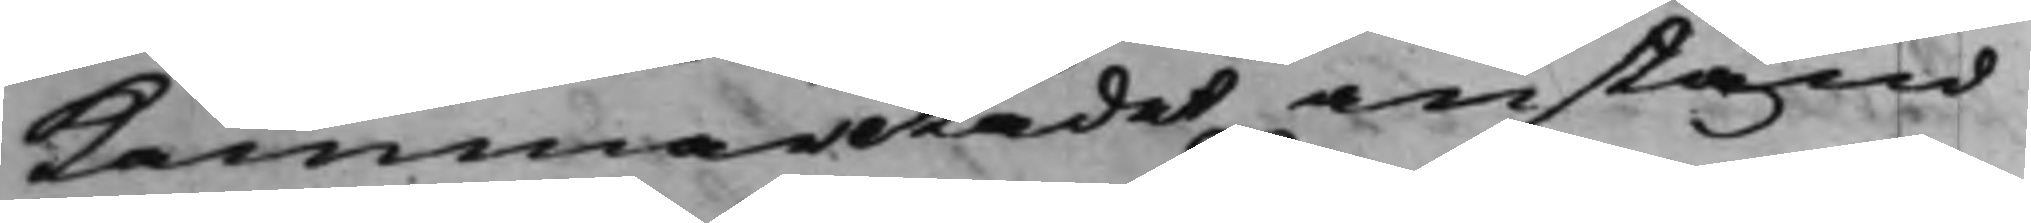KammarRådet anstånd
